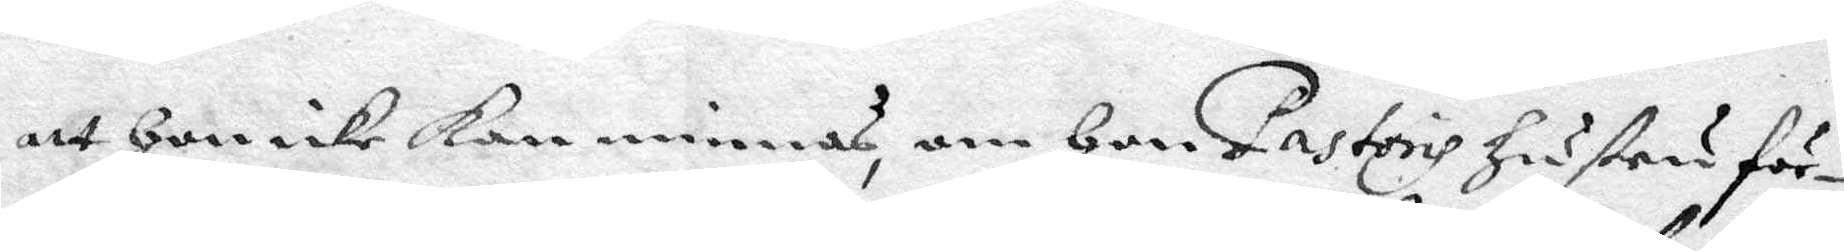att hon icke kan minnas, om hon Pastoris hustru för¬
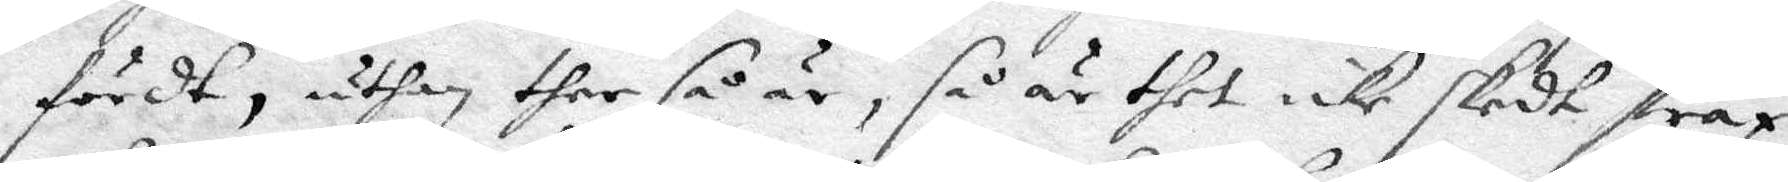fördt, uthan ther så är, så är thet icje skedt strax
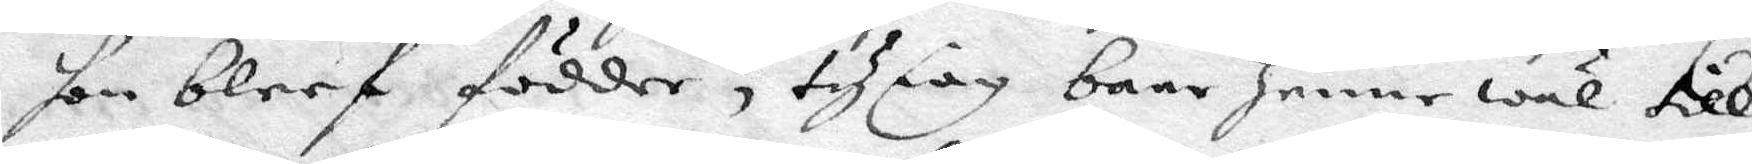hon bleef födder, ty iag bare henne wäl till
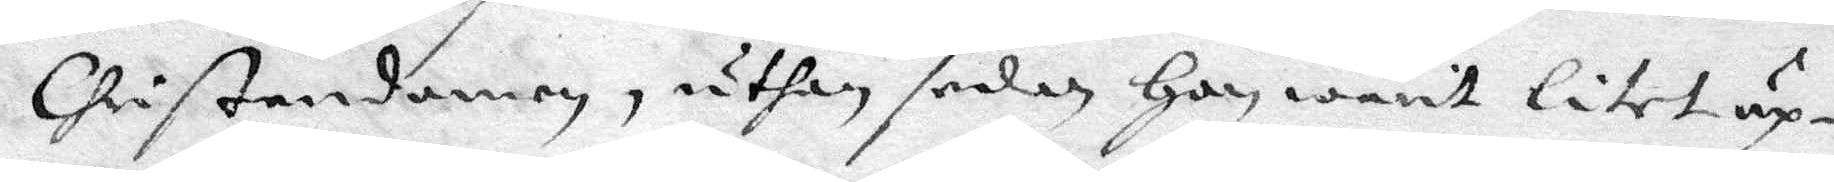Chritendomen, uthan sedan hon warit kitet up¬
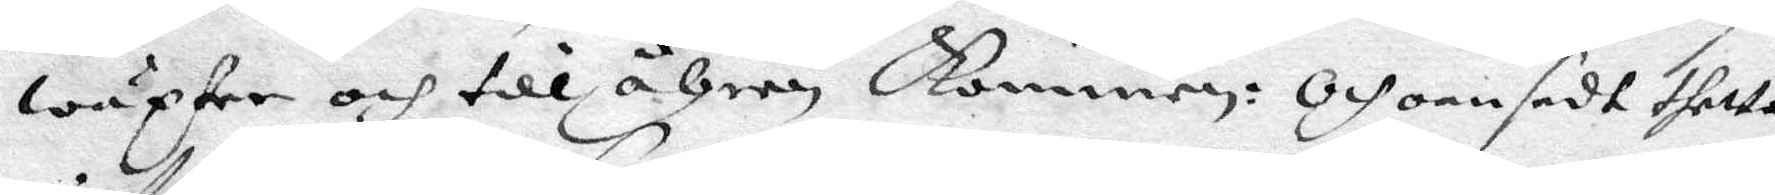wäxter och till åhren kommen. Och oansedt thetta
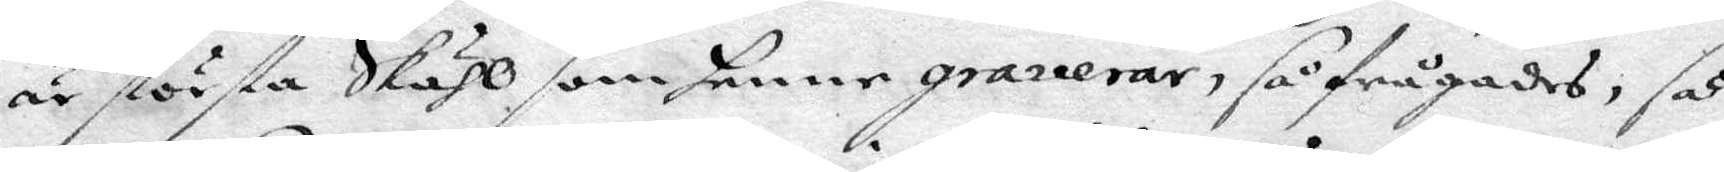är största Skähl som henne graverar, så frågades, så
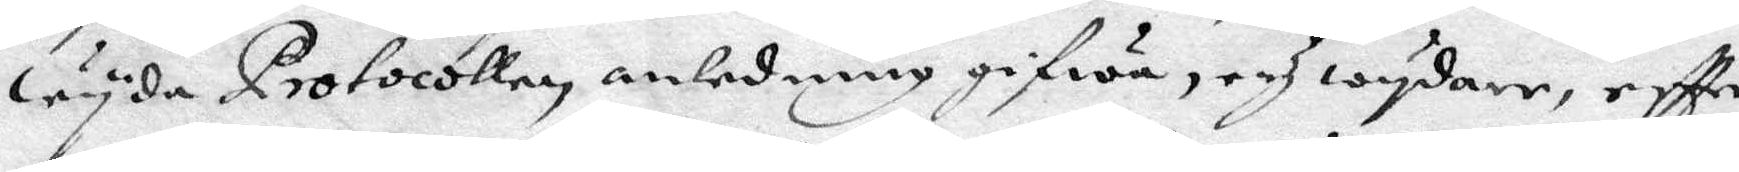wyda Protocollen anledning gifwa, och wydare, eftter
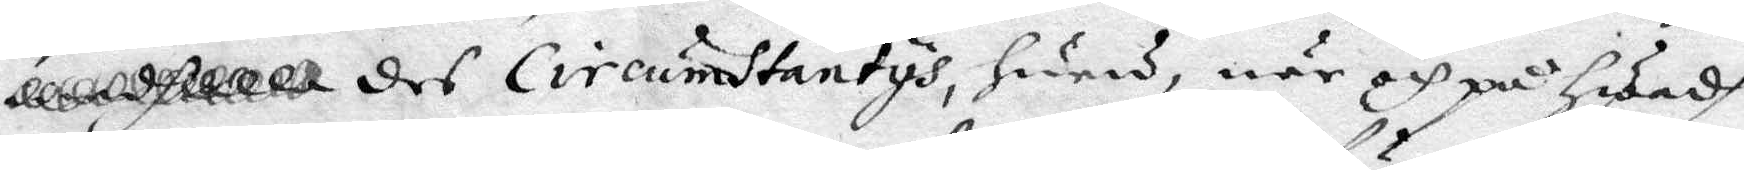des Circumstantys, hwem, när och på hwadh
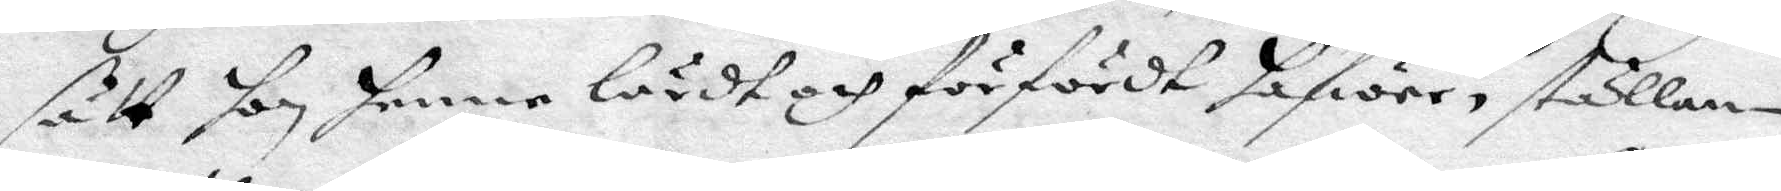sätt hon henne lärdt och förfördt hafwer, ställan
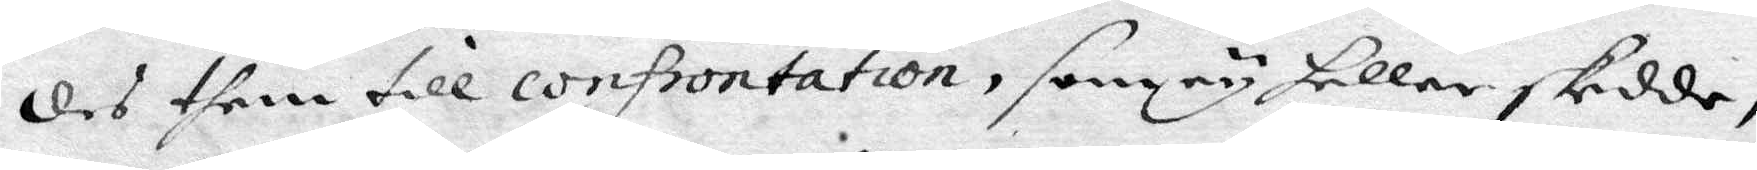des the till confrontation, som ey heller skedde,
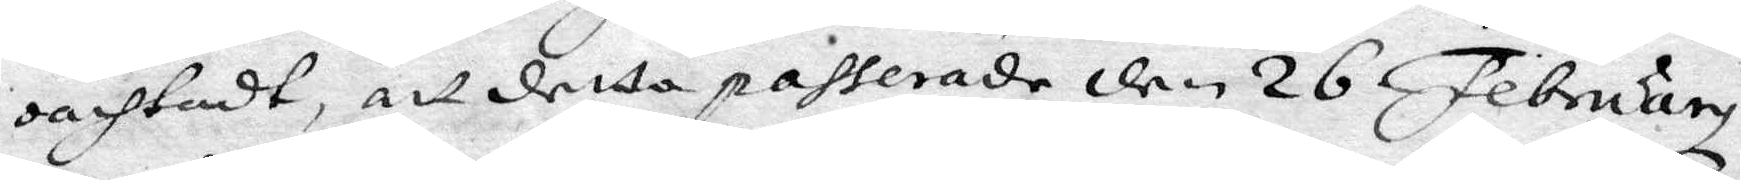oansedt, att detta passerande den 26 February
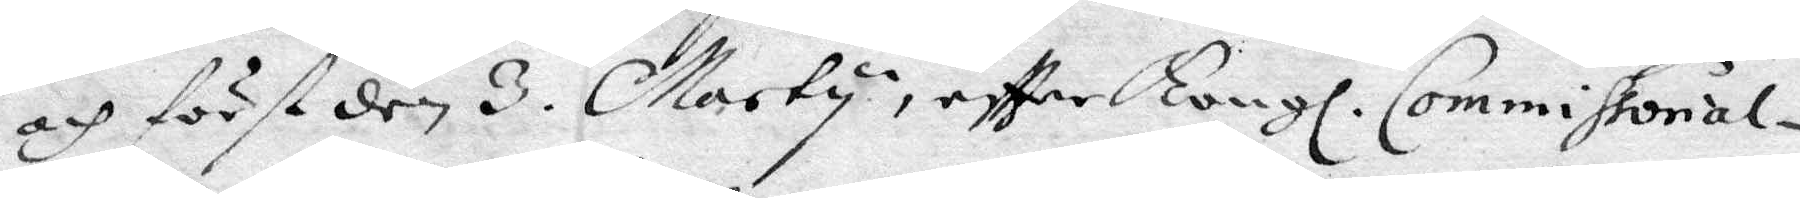och först den 3. Marty, eftter Kongl, Commissorial¬
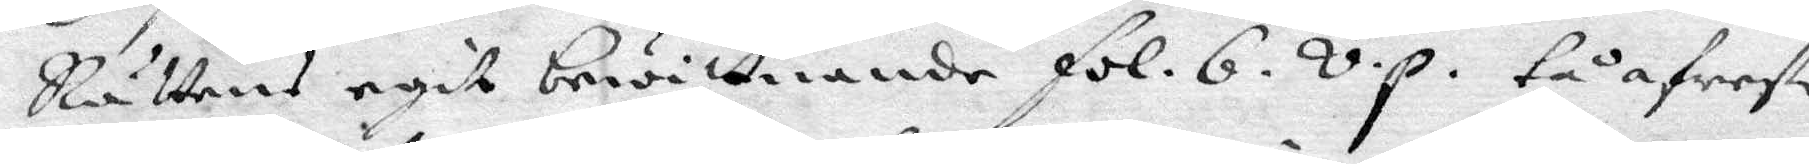Rättens egit bewittnande fol. 6. v.p. tå afreste
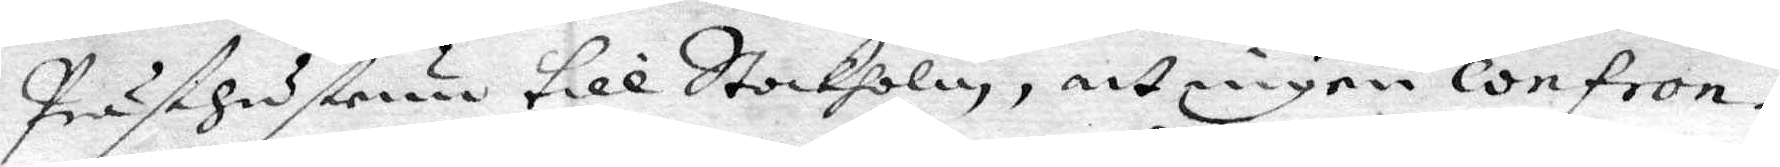Prästehustrun till Stockholm, att ingen confron¬
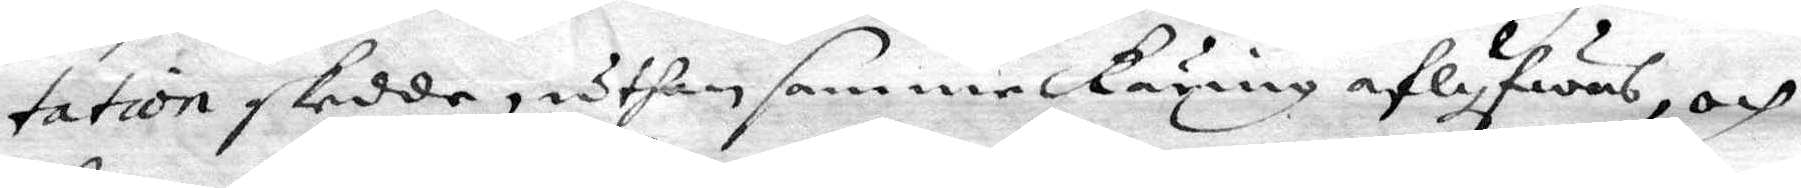tation skedde, uthan samme Käring aflyfwas, och
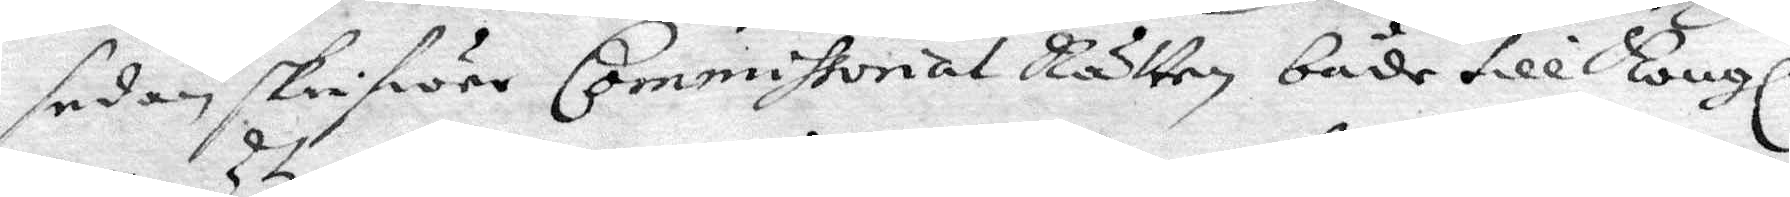sedan skriwer Commistorial Rätten både till Kongl.
